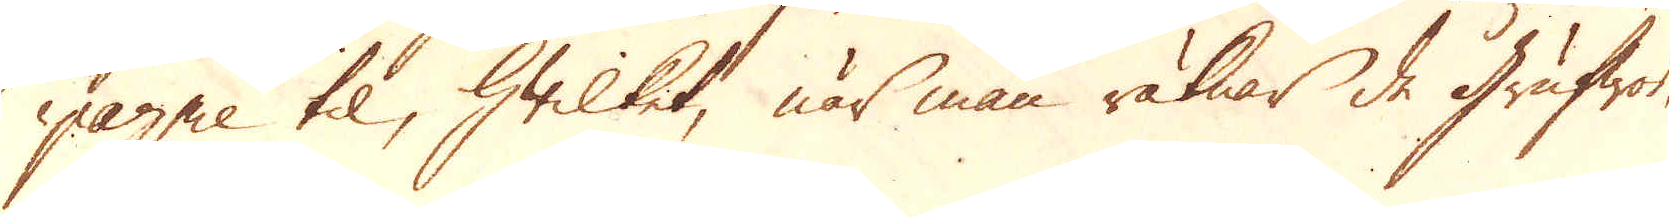pagnie til, hwilket, när man räknar de grufwor
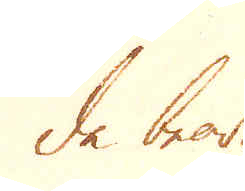de bear-
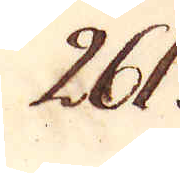261.
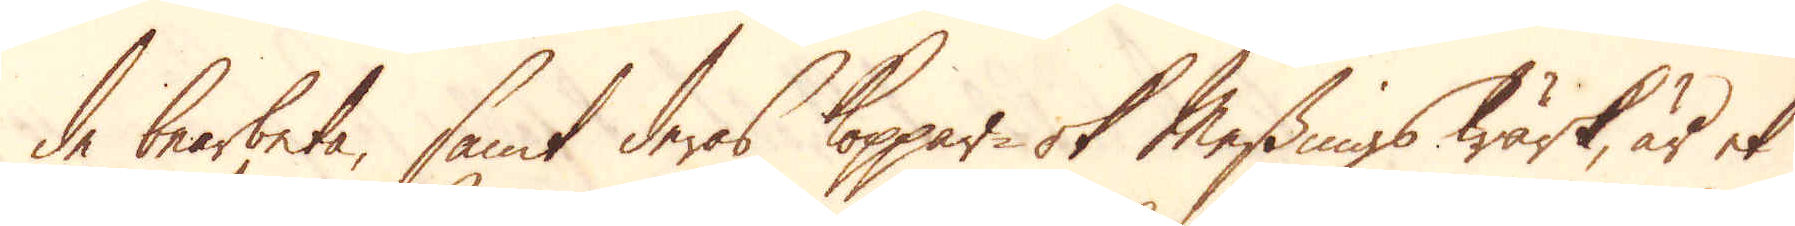de bearbeta, samt deras Koppar- ok Messings wärk, är et
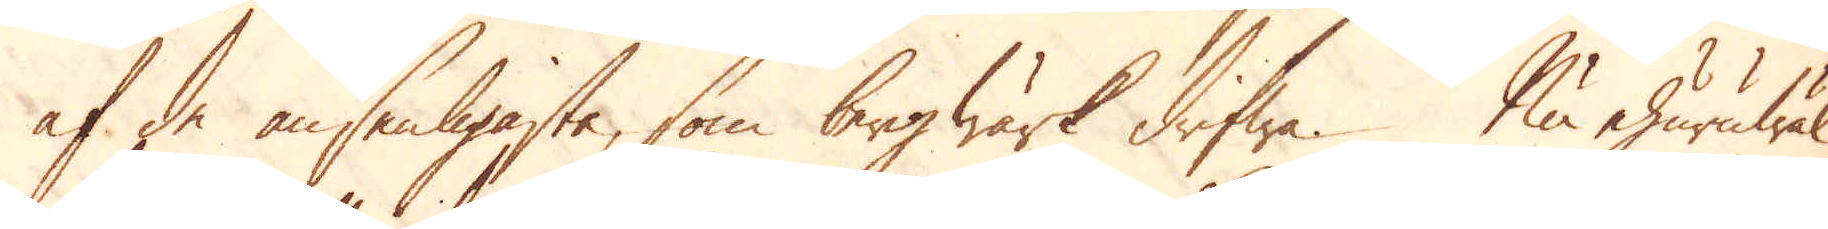af de ansenligaste, som bergwärk drifwa. Nu ehuruwäl
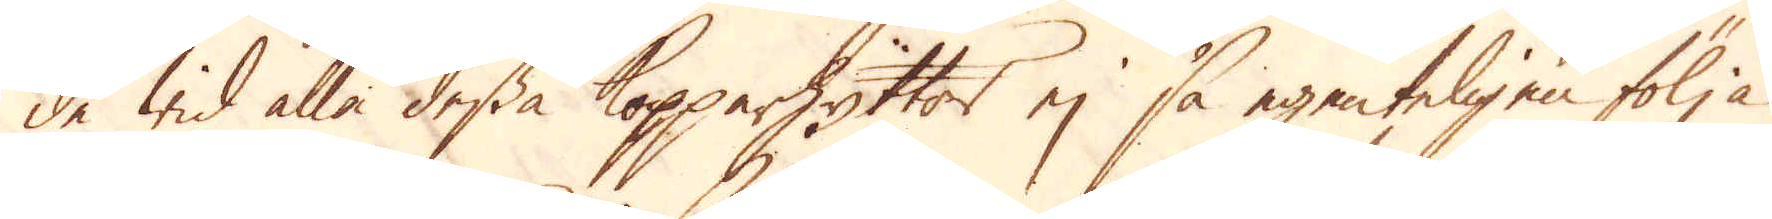de wid alla dessa Kopparhyttor ej så egenteligen följa
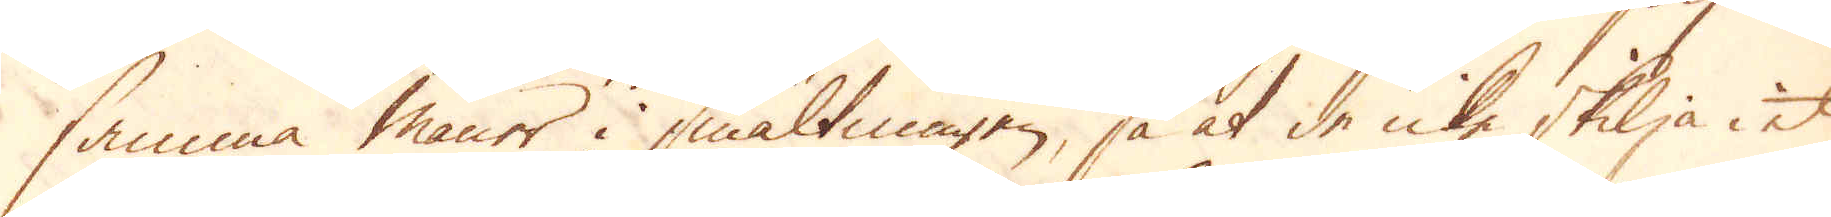samma maner i smältningen, så at de icke skilja i et
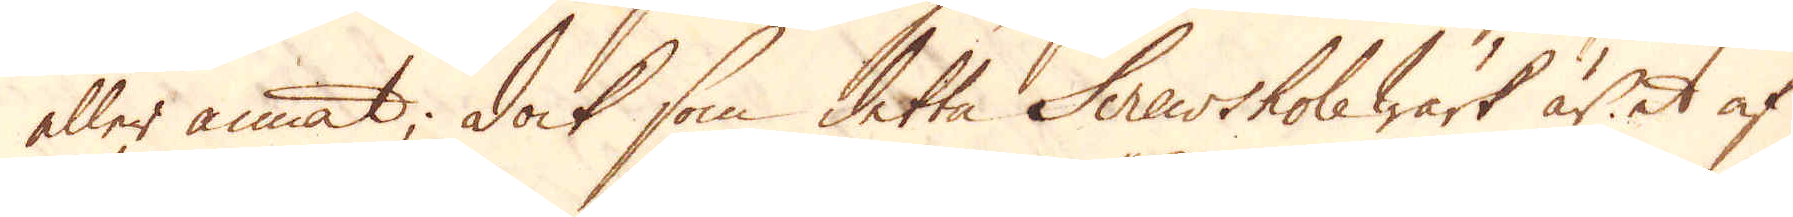eller annat; dock som detta Screwshole Wärk är et af
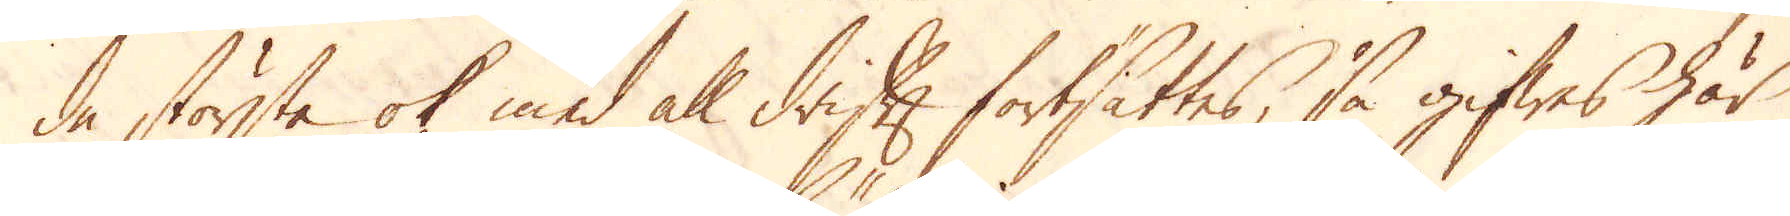de största ok med all drift fortsattes, så gifwes här
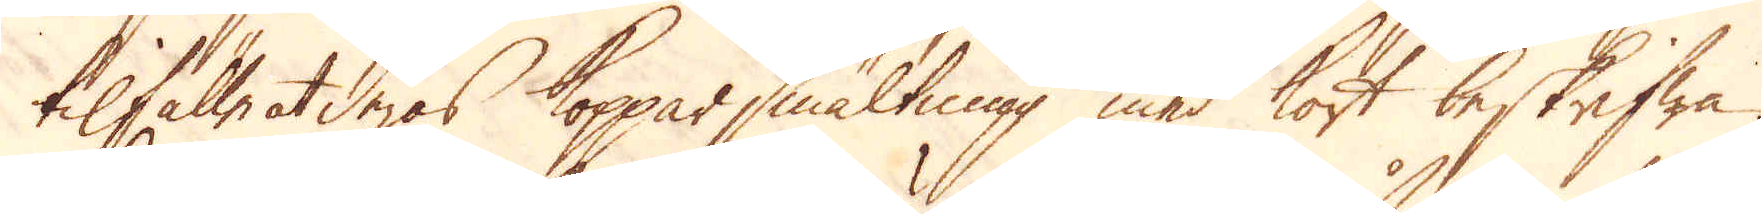tilfälle at deras Kopparsmältning med kort beskrifwa.
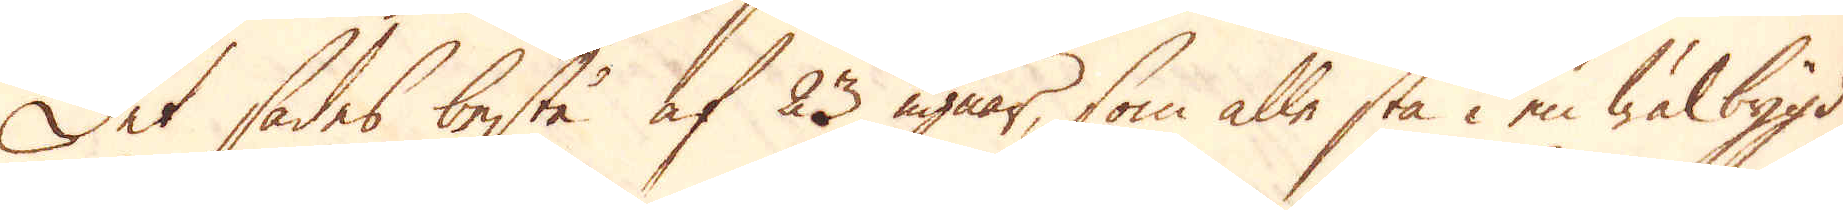Det sades bestå af 23 ugnar, som alle stå i en wälbygd
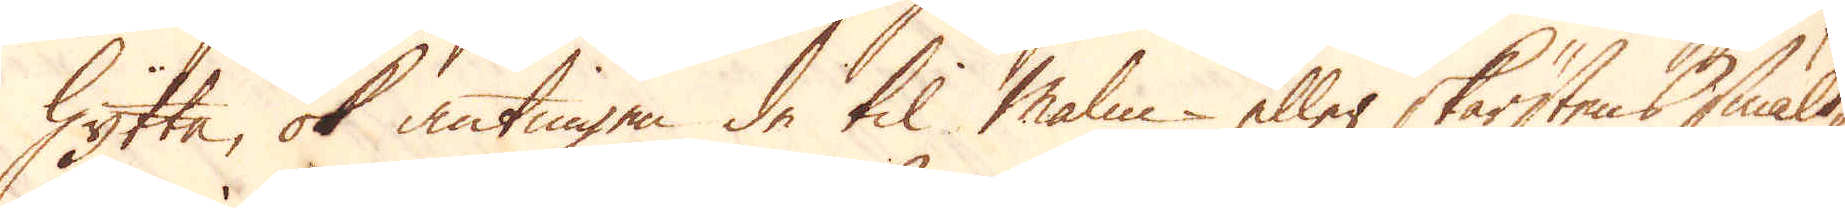hytta, ok antingen de til Malm eller skärstens smält-
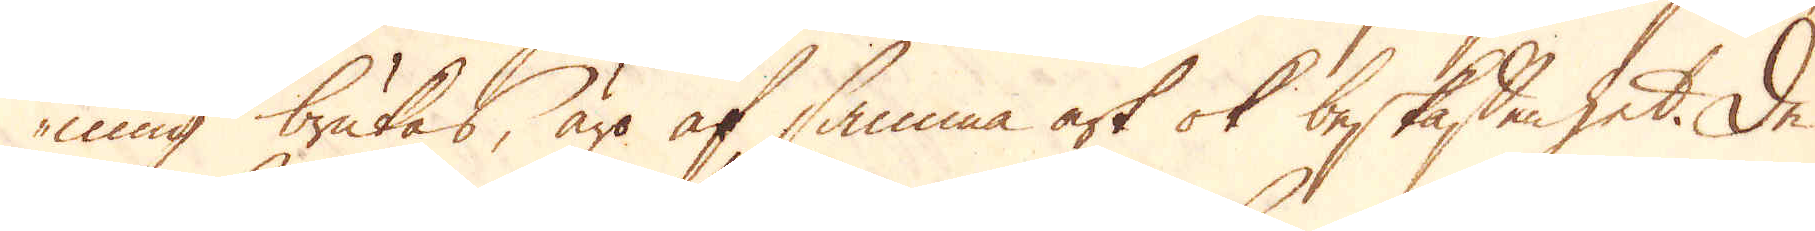ning brukas, äro af samma art ok beskaffenhet. De
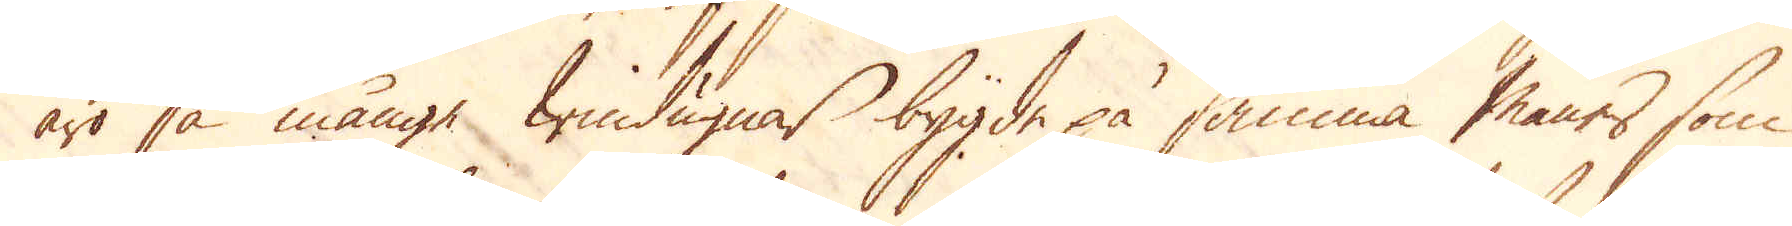äro så månge windugnar bygde på samma maner som
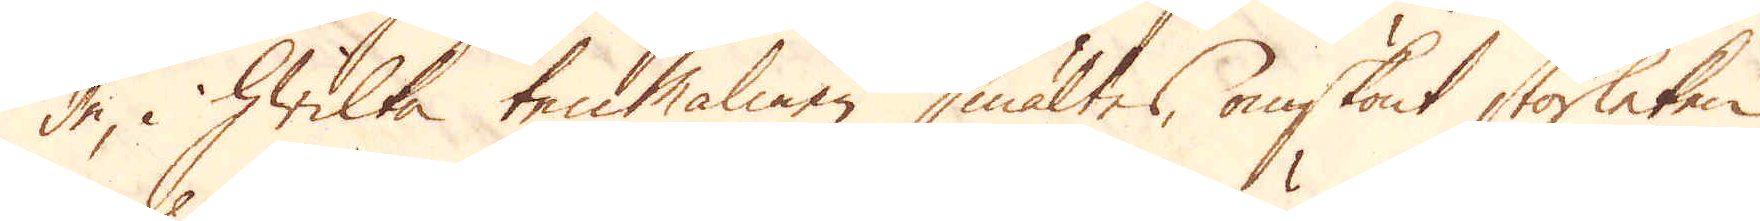de, i hwilka ten Malmen smältes, omskönt storleken
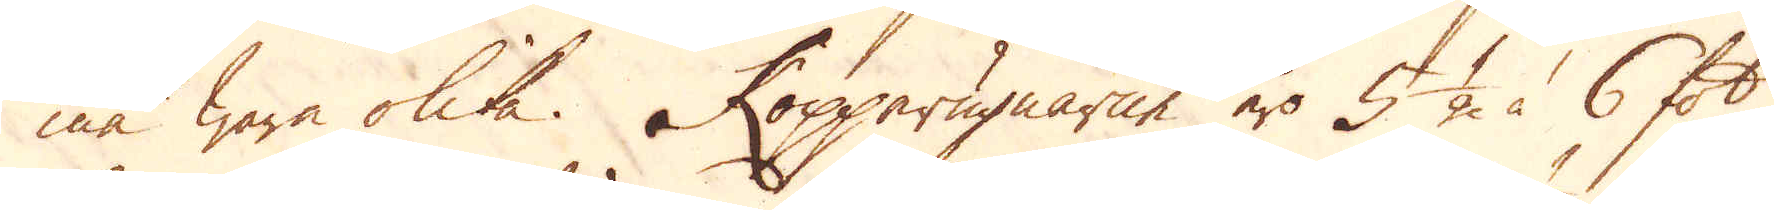må wara olika. Kopparugnarne äro 5 1/2 à 6 fot
